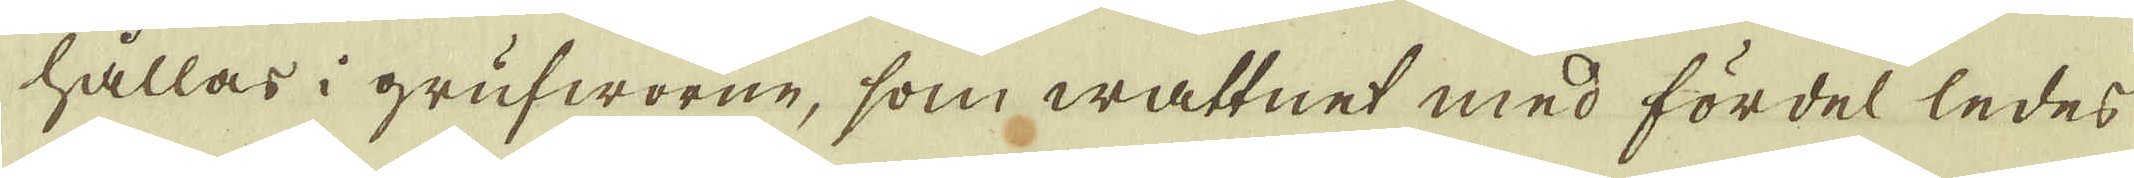hållas i grufworne, som wattnet med fördel ledes
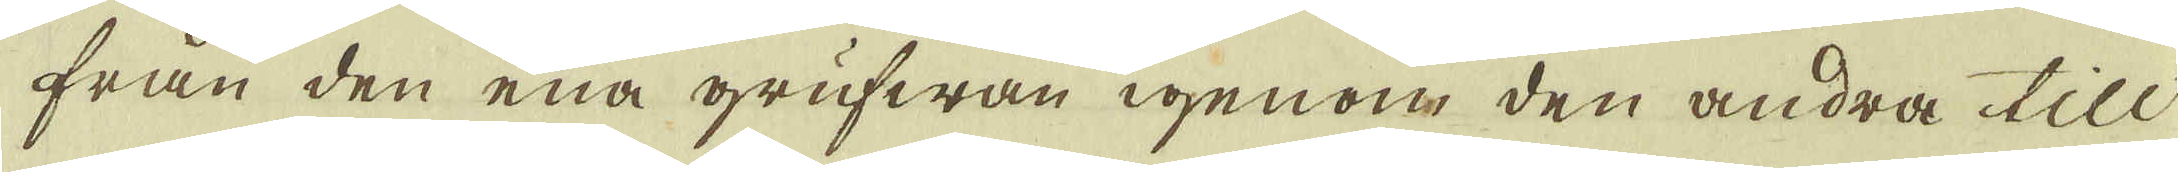från den ena grufwan igenom den andra till
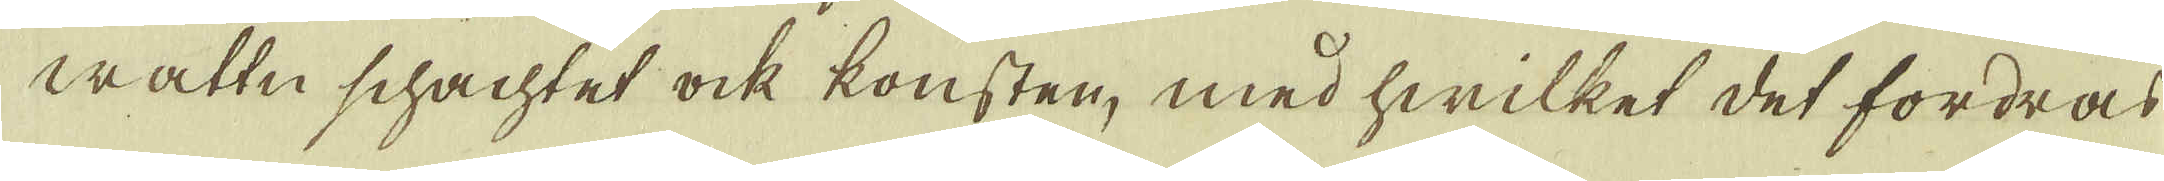wattn schachtet ock konsten, med hwilket det fordras
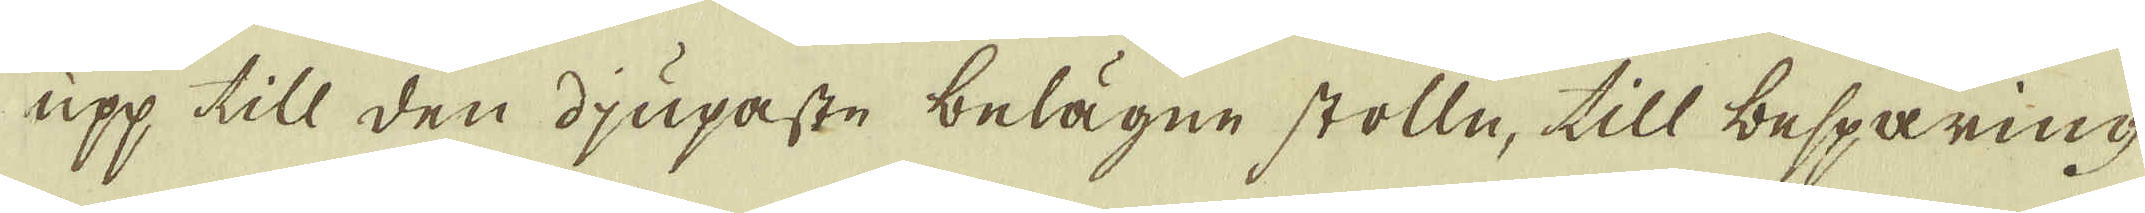upp till den djupaste belägne stolle, till besparing
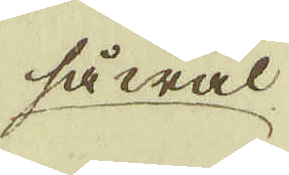så wäl
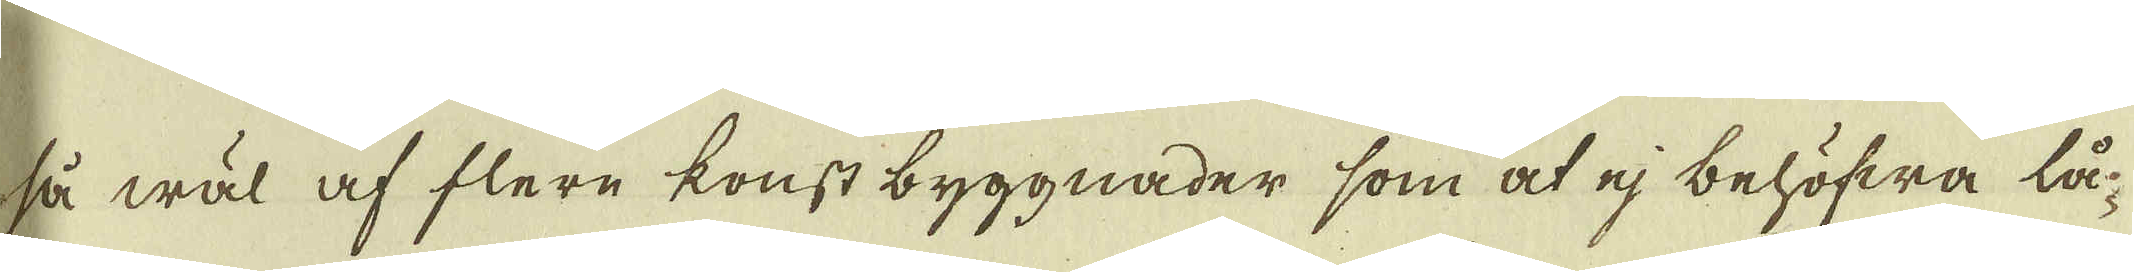så wäl af flere konst byggnader som at ej behöfwa lå-
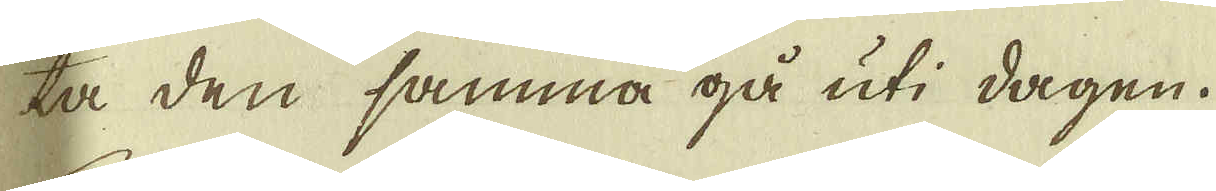ta den samma gå uti dagen.
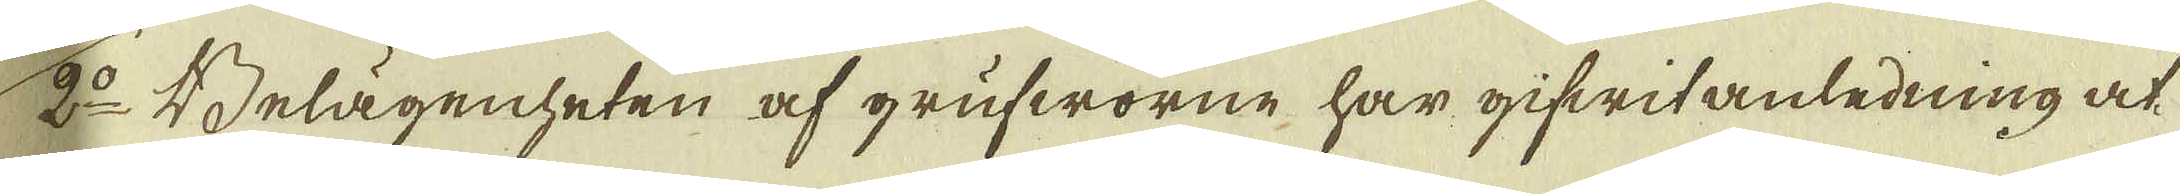2:o Belägenheten af grufworne har gifwit anledning at
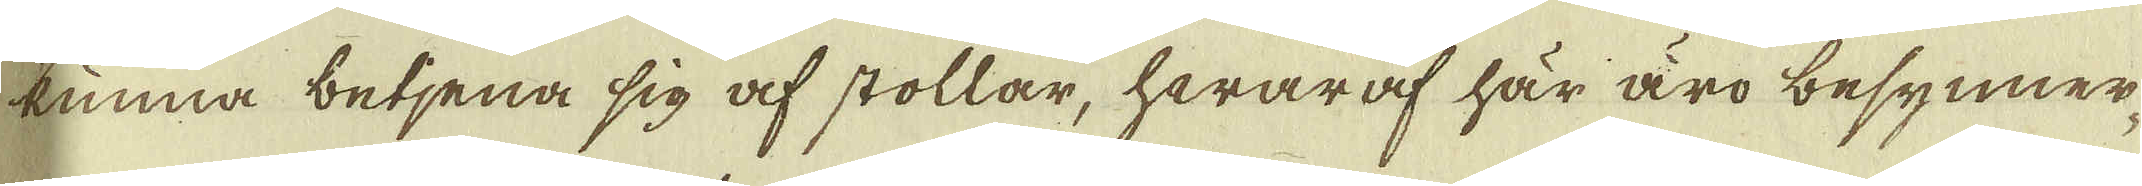kunna betjena sig af stollar, hwaraf här äro besynner-
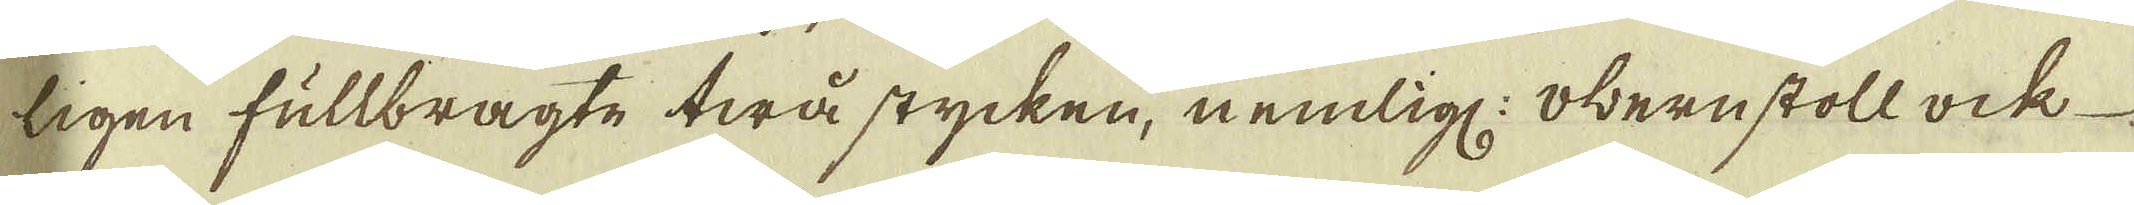ligen fullbragte twå stycken, nemlig: obernstoll ock 
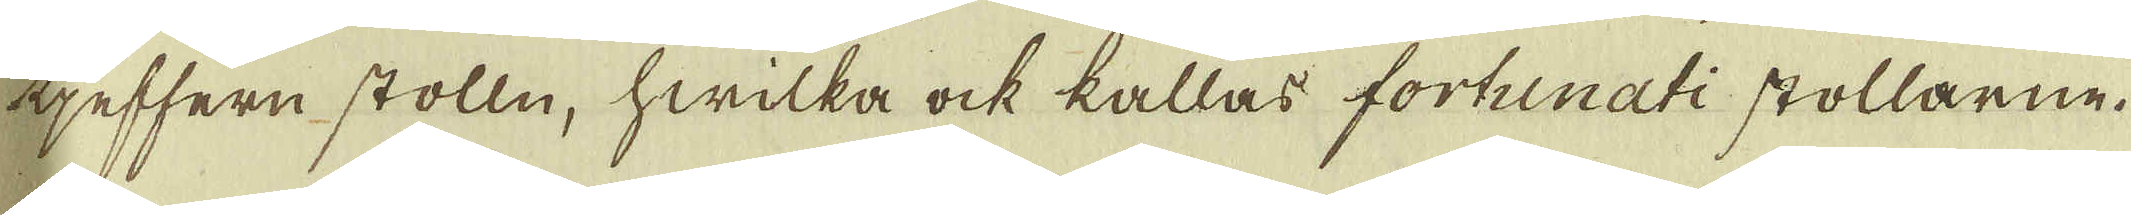tjeffern stolln, hwilka ock kallas fortunati stollarne.
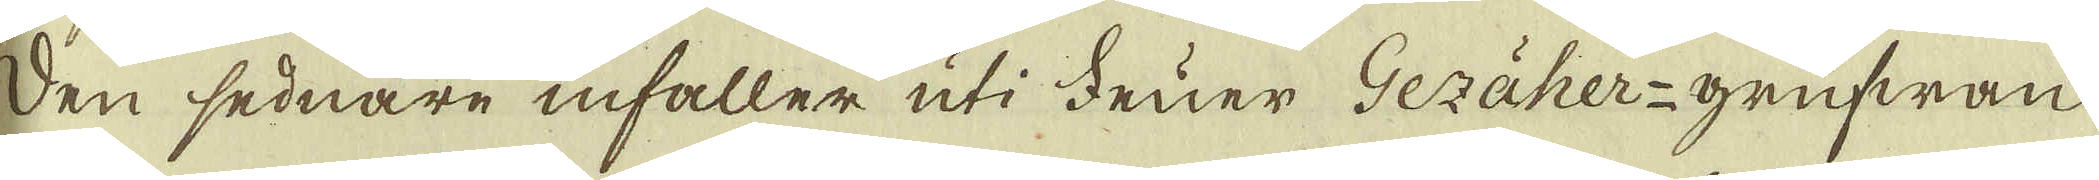Den sednare infaller uti Fruer Gezäher-grufwan
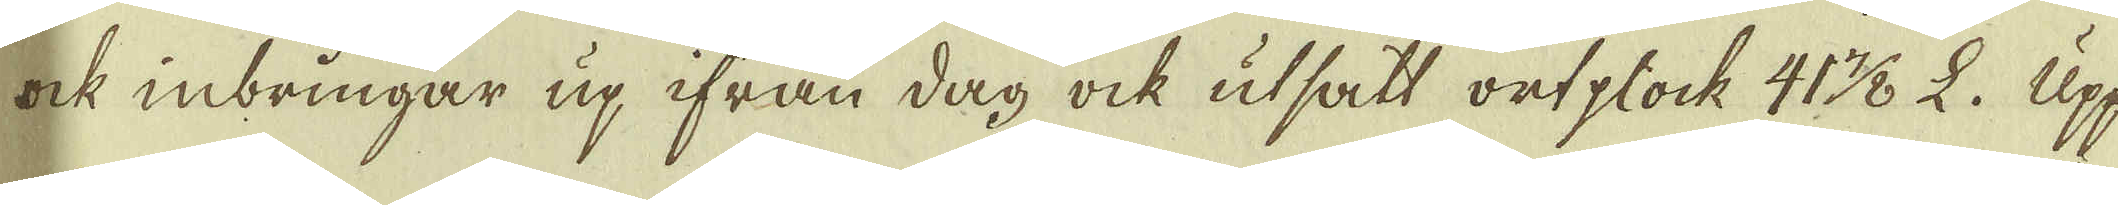ock inbringar up ifrån dag ock utsatt ortploch 41 7/8 L. Upp
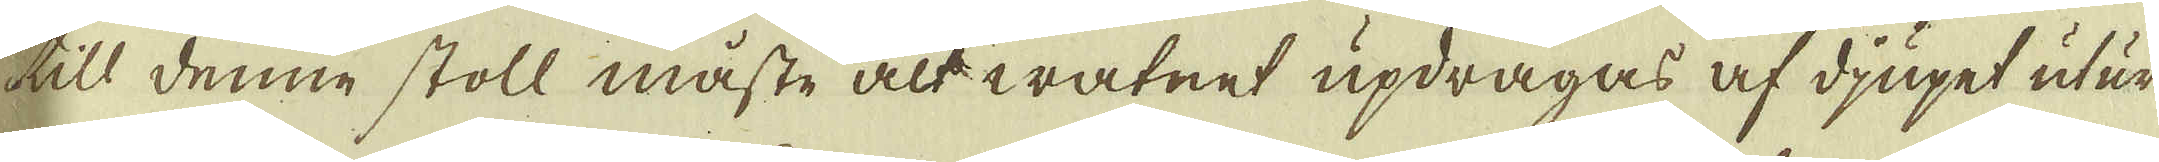till denne stoll måste alt watnet updragas af djupet utur
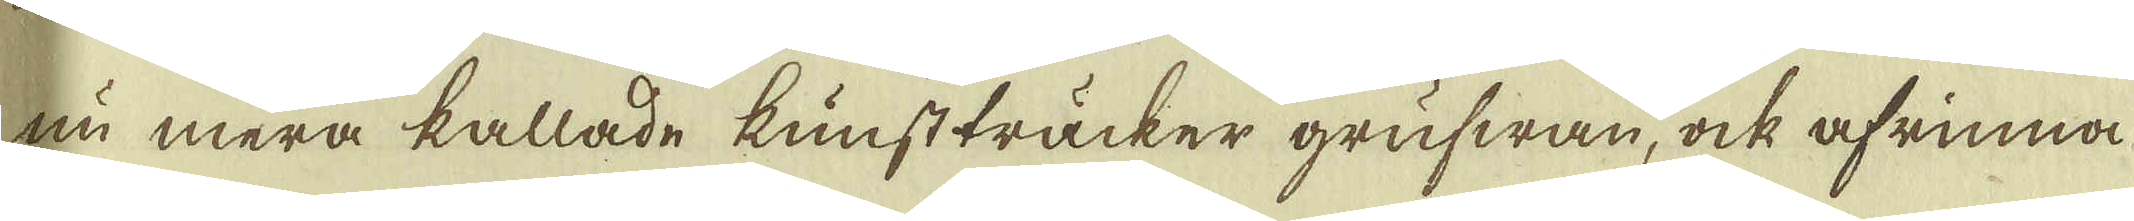nu mera kallade kunstträcker grufwan, ock afrinna
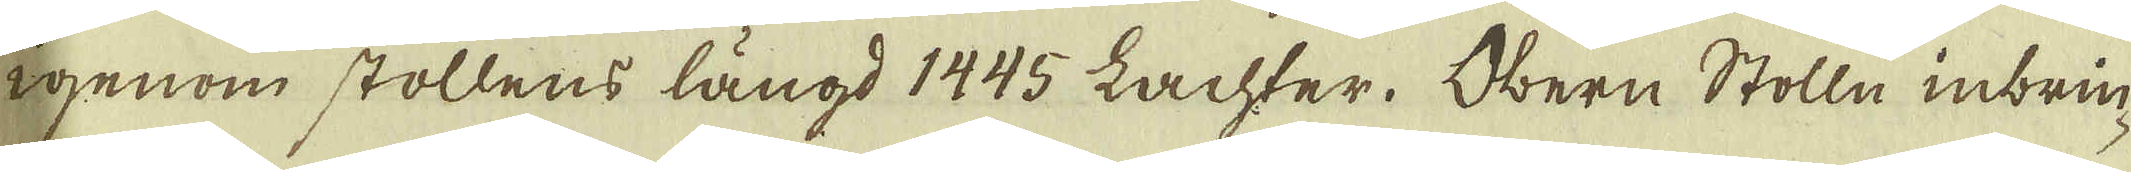igenom stollens längd 1445 Lachter. Obern Stolln inbrin-
